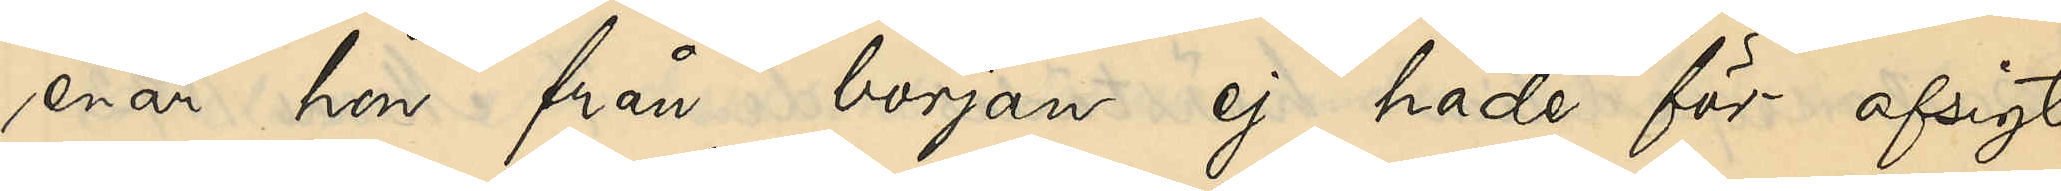enär hon från början ej hade för afsigt
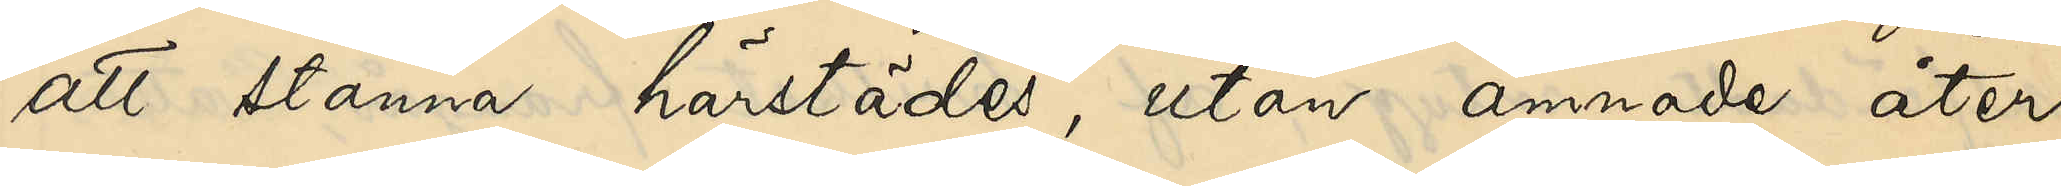att stanna härstädes, utan ämnade åter¬
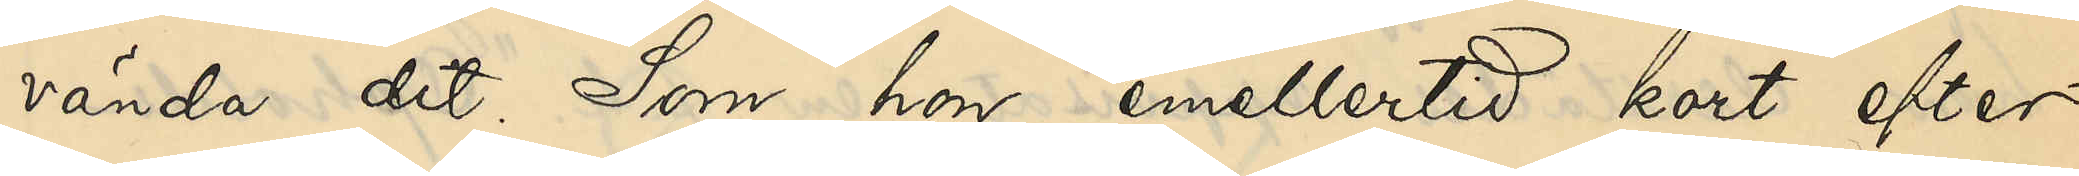vända dit. Som hon emellertid kort efter
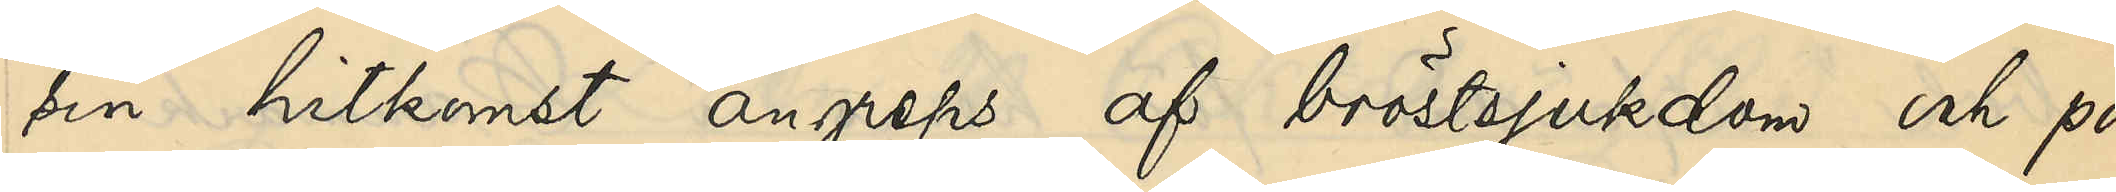sin hitkomst angreps af bröstsjukdom och på
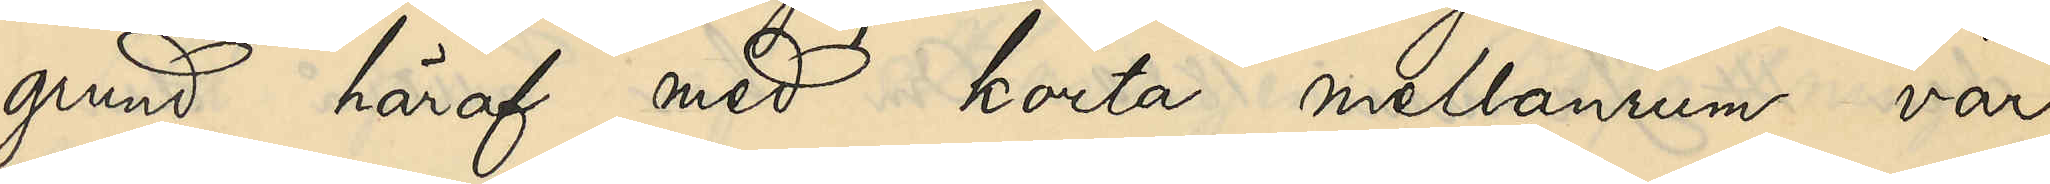grund häraf med korta mellanrum var
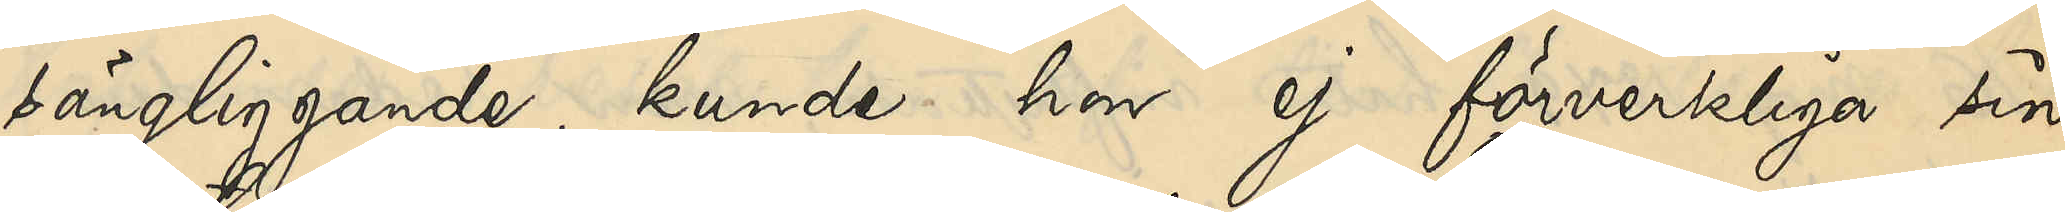sängliggande, kunde hon ej förverkliga sin
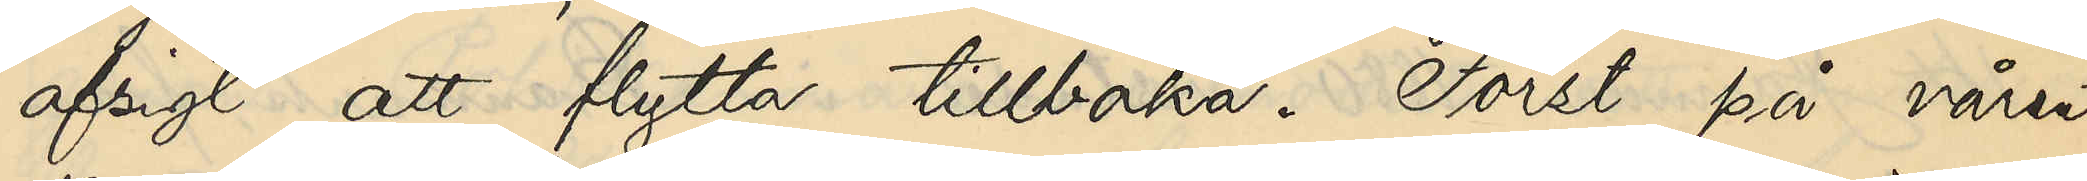afsigt att flytta tillbaka. Först på våren
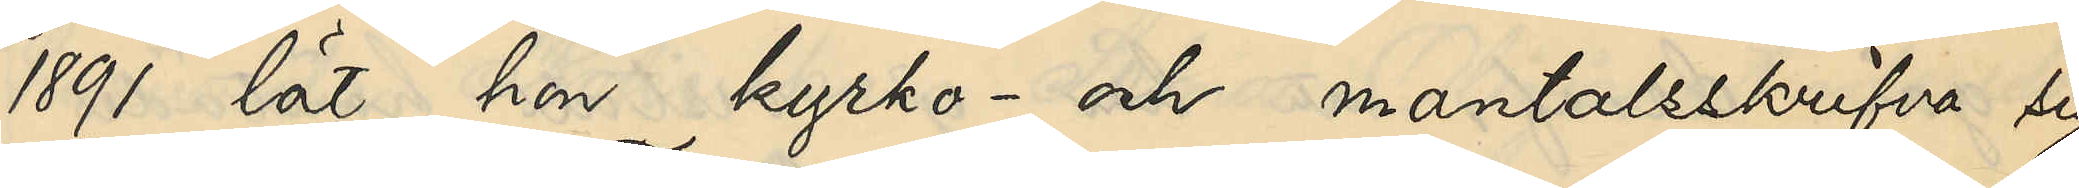1891 lät hon kyrko- och mantalsskrifva sig
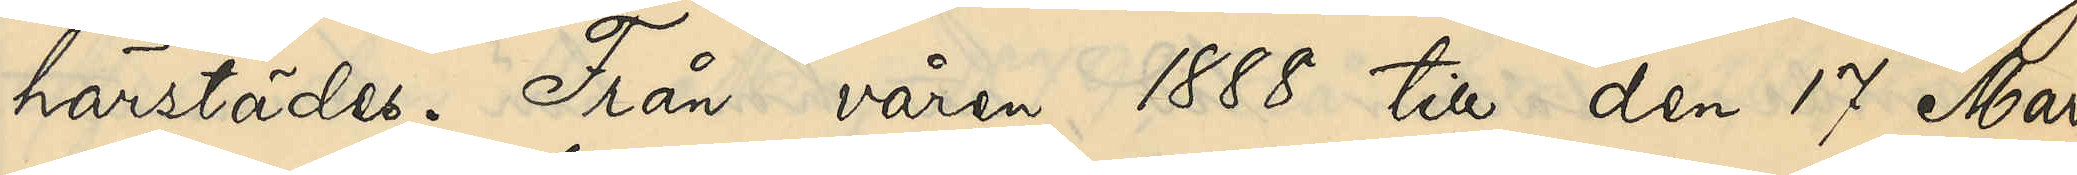härstädes. Från våren 1888 till den 17 Mars
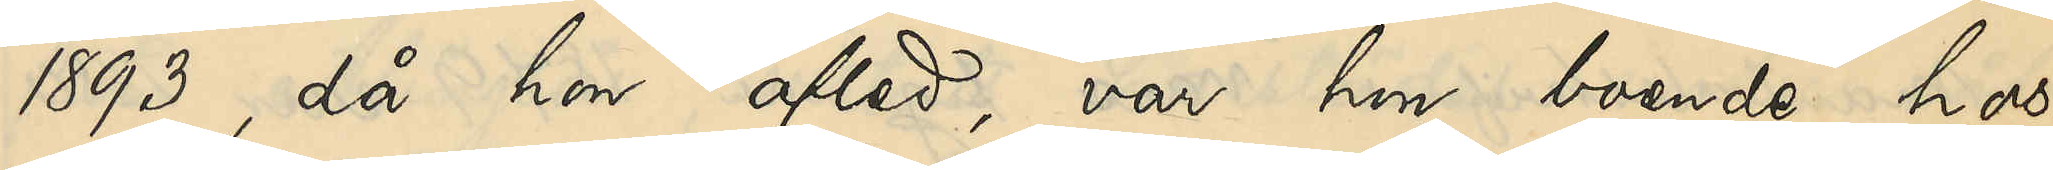1893, då hon afled, var hon boende hos
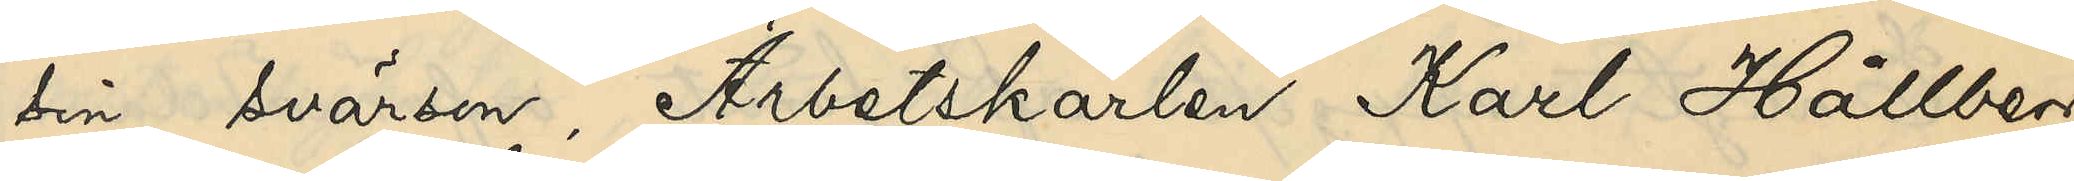sin svärson, Arbetskarlen Karl Hållberg,
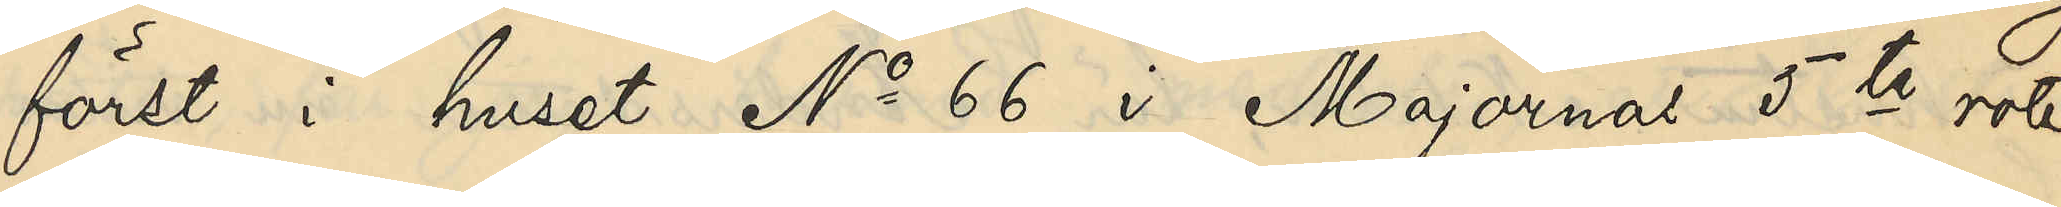först i huset No 66 i Majornas 5te rote,
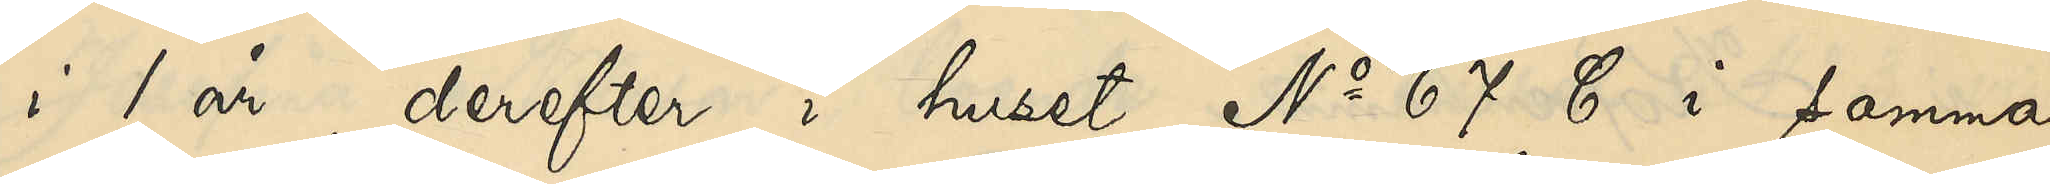i 1 år, derefter i huset No 67 C i samma
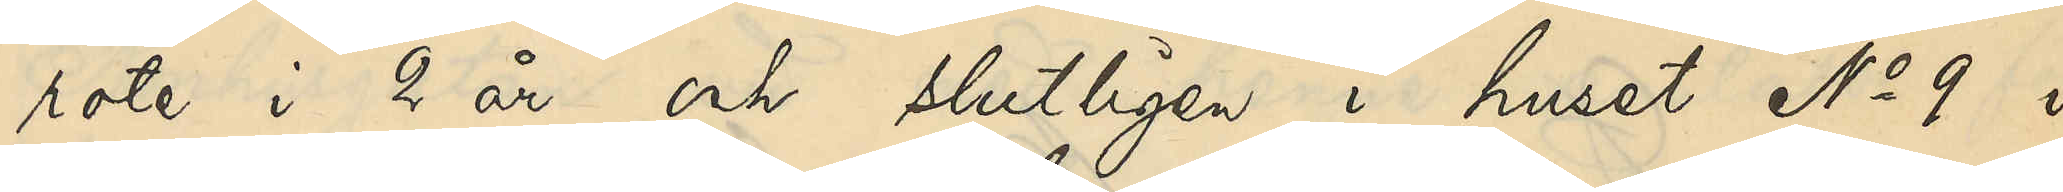rote i 2 år och slutligen i huset No 9 i
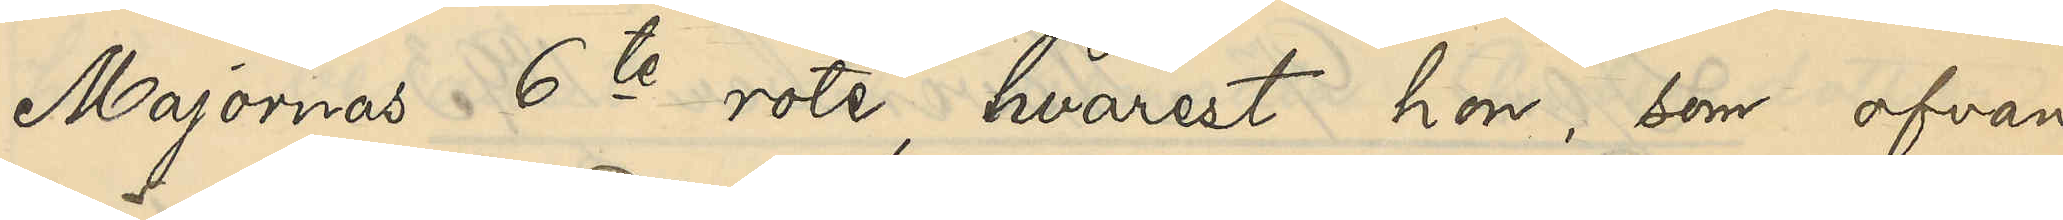Majornas 6te rote, hvarest hon, som ofvan
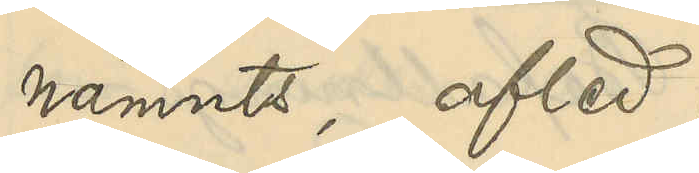nämnts, afled.
